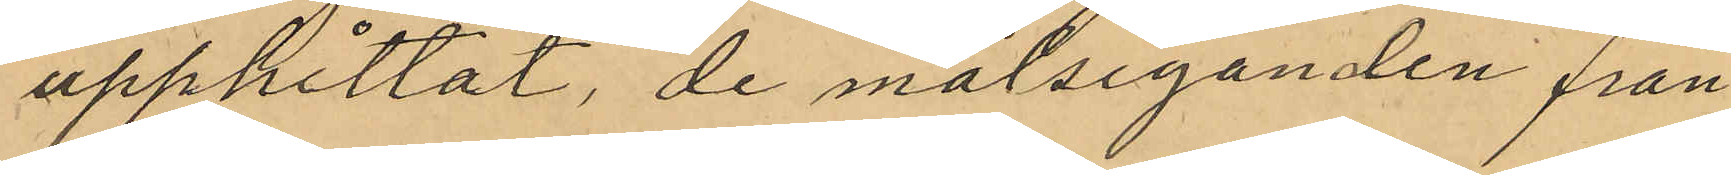upphittat, de målseganden från
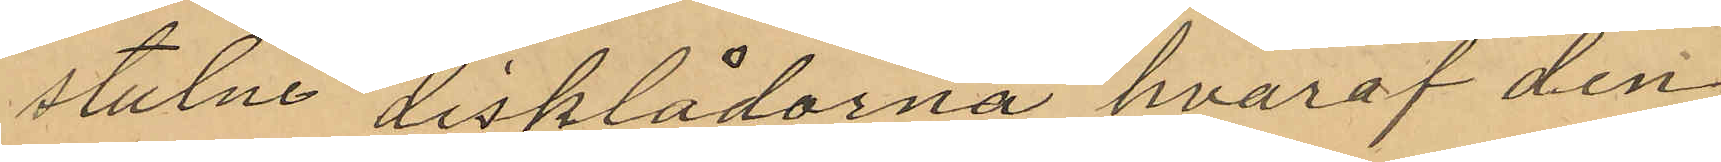stulne disklådorna hvaraf den
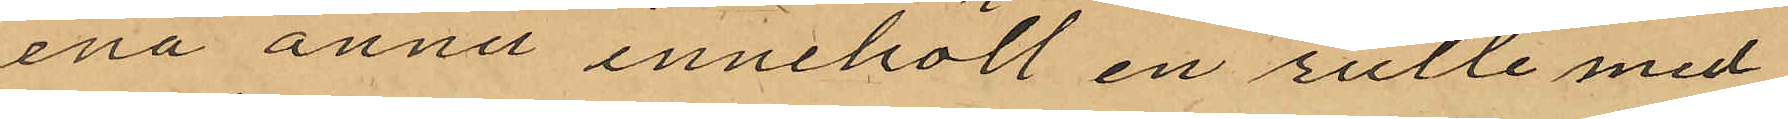ena ännu innehöll en rulle med
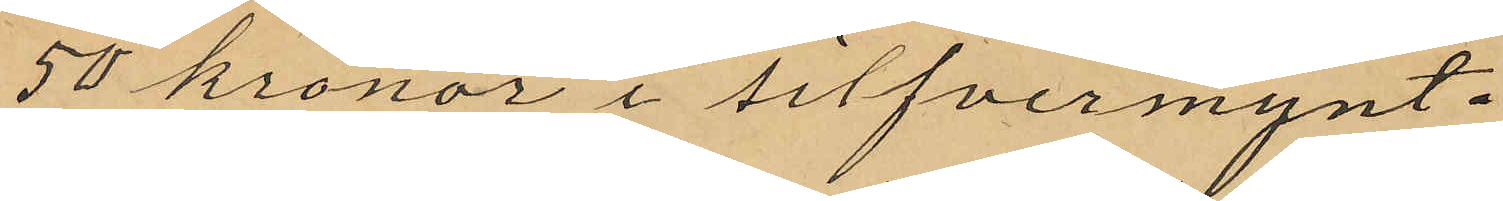50 kronor i silfvermynt.
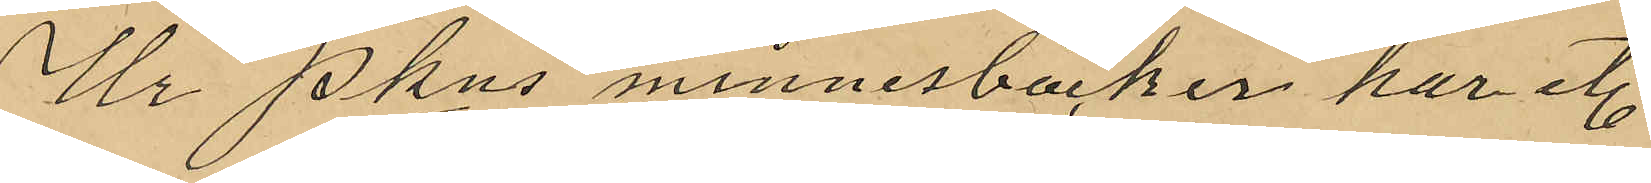Ur Pkns minnesböcker har et.
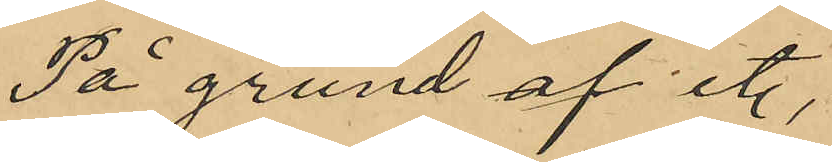På grund af et.
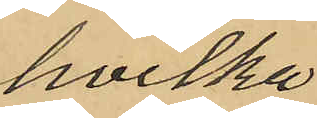hvilka
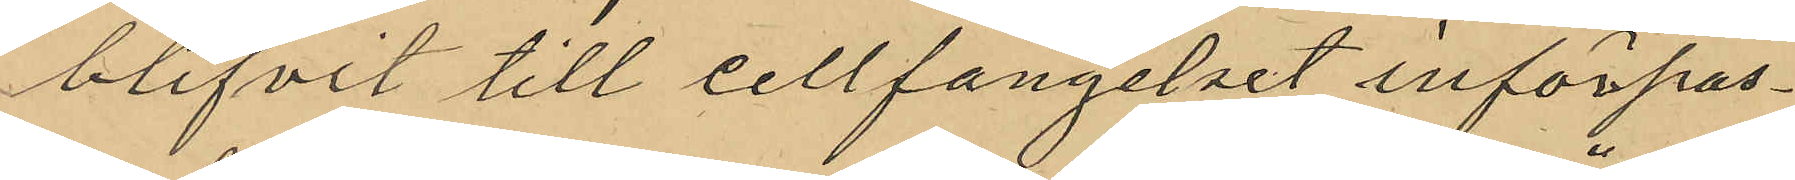blifvit till cellfangelset införpas¬
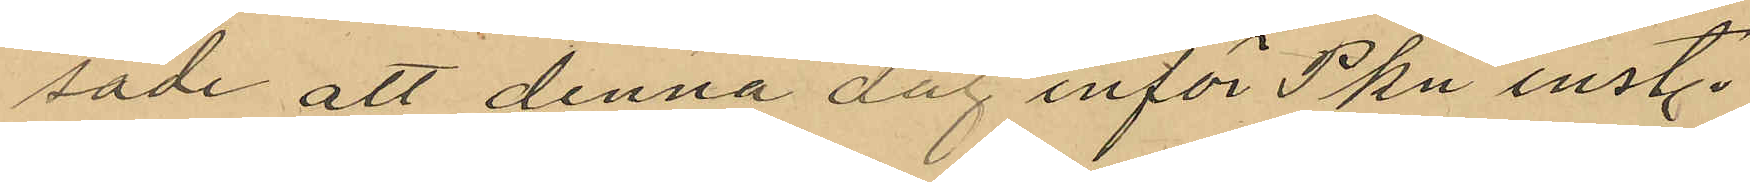sade att denna dag inför Pkn inst.
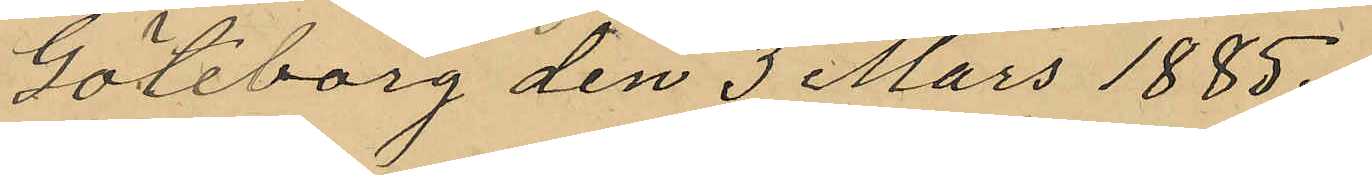Göteborg den 3 Mars 1885.
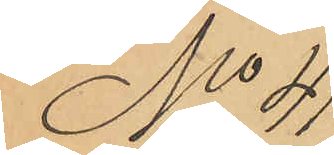No 41
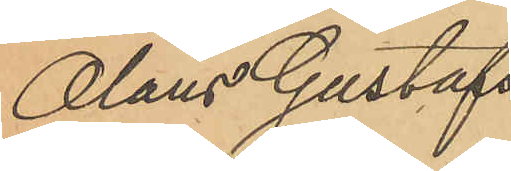Olaus Gustafs¬
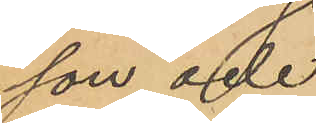son och
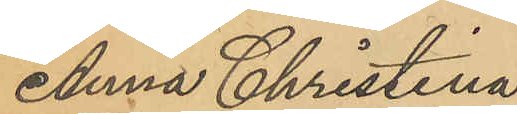Anna Christina
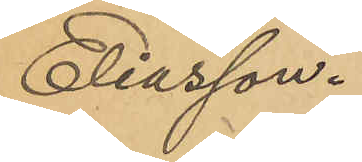Eliasson.
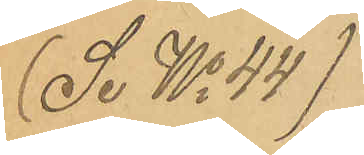(Se No 44)
